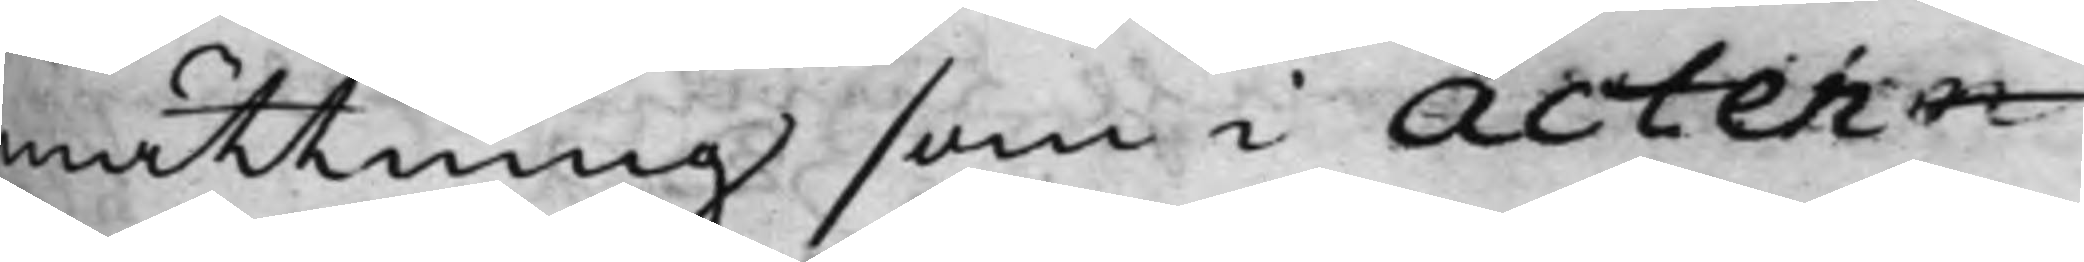måttning som i Actern¬
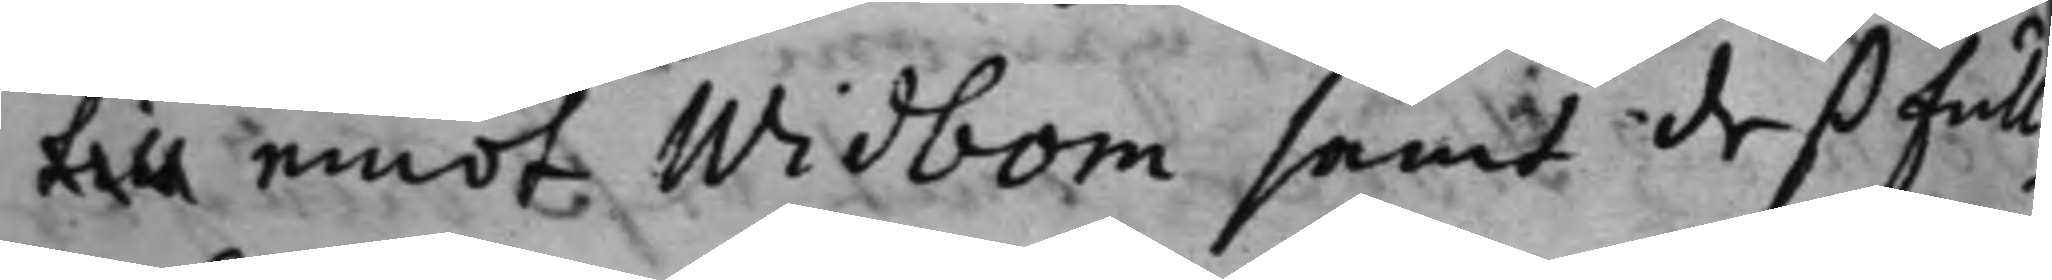till emot Widbom samt deß full¬
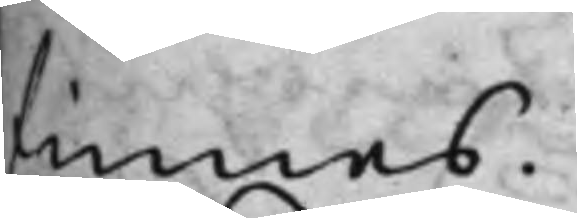finnes.
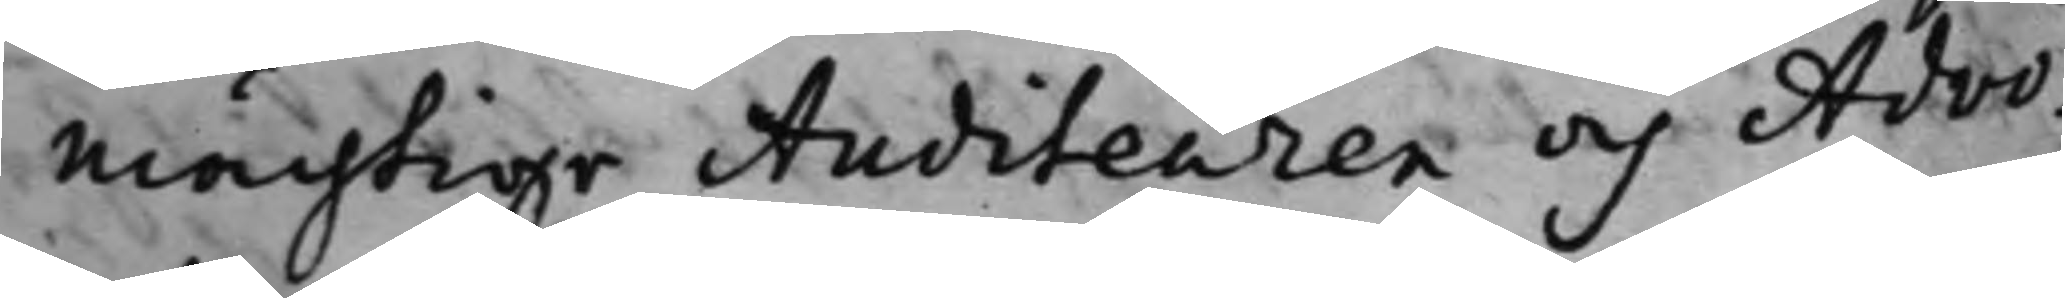mächtige Auditeuren och Advo¬
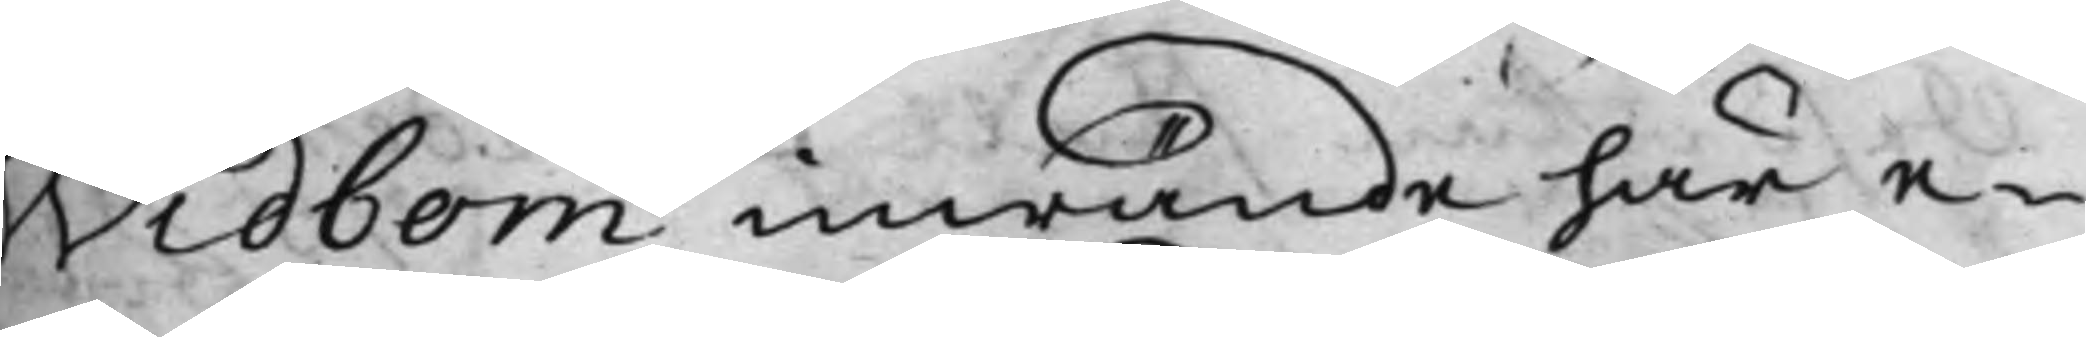Sidbom inwände här e¬
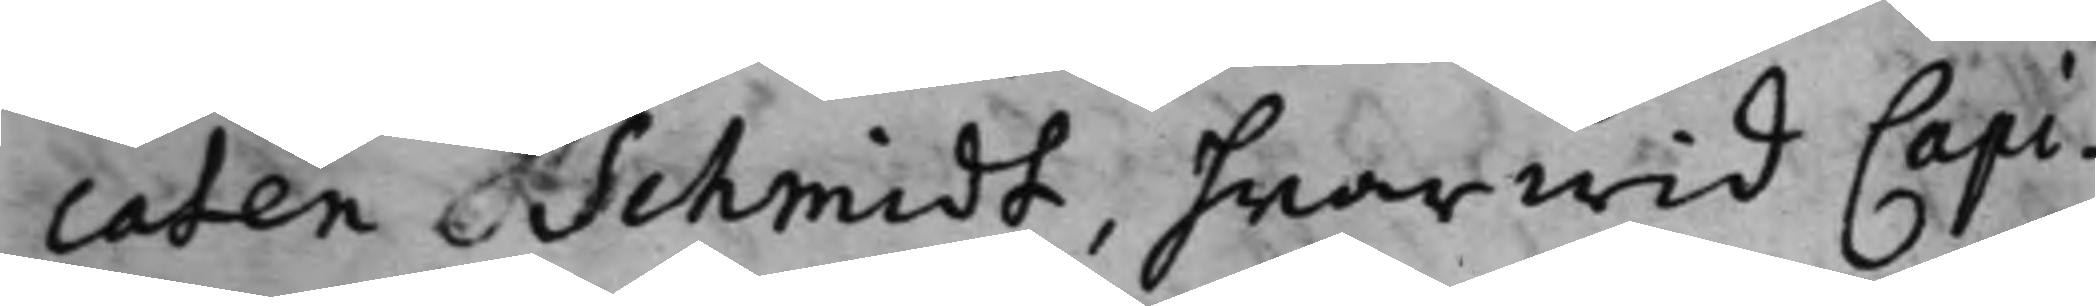caten Schmidt, hwarwid Capi¬
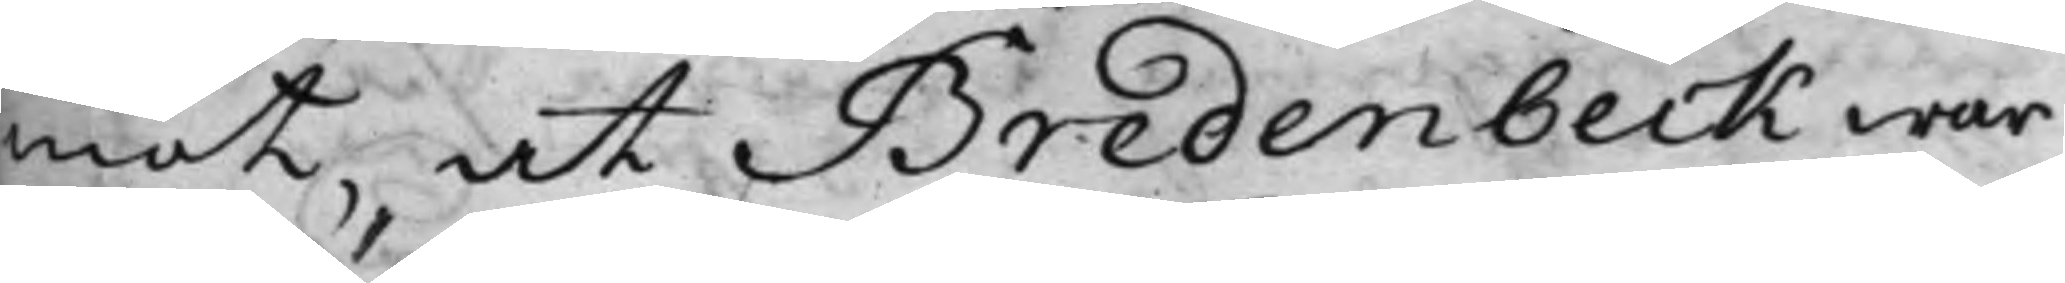mot, at Bredenbeck wara
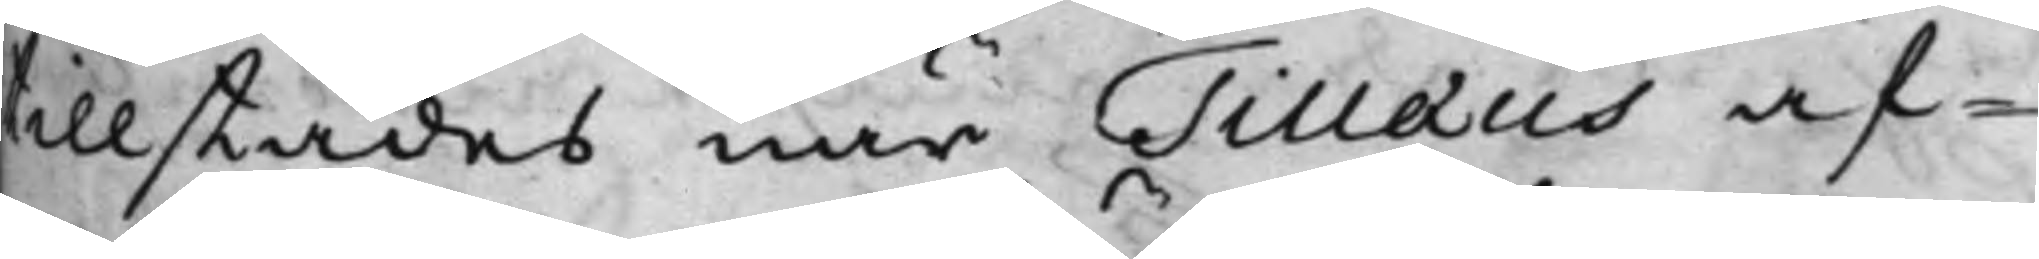tillstädes, när Tilæus af¬
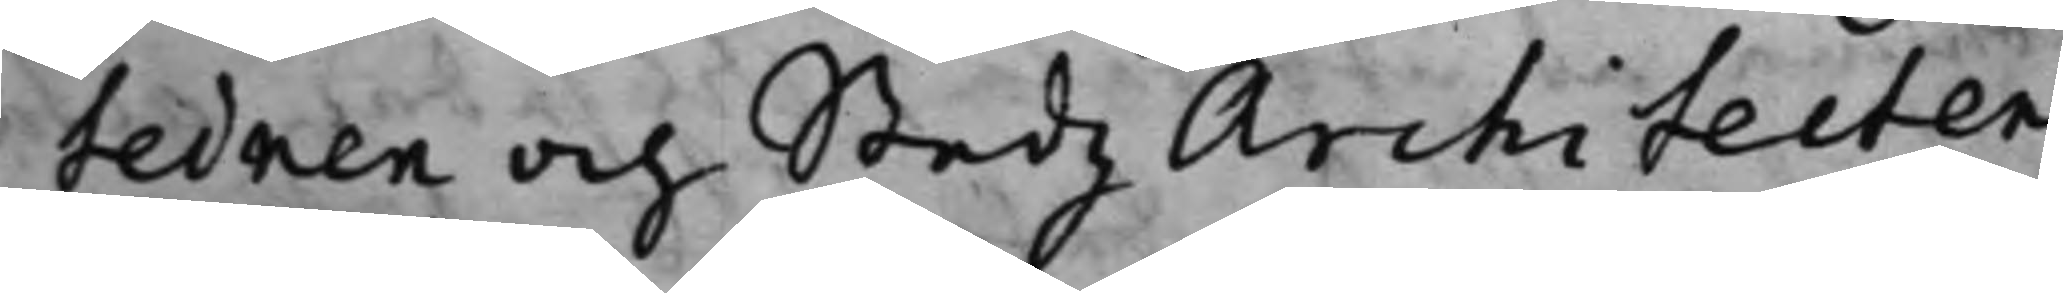tednen och Stadz Architeten
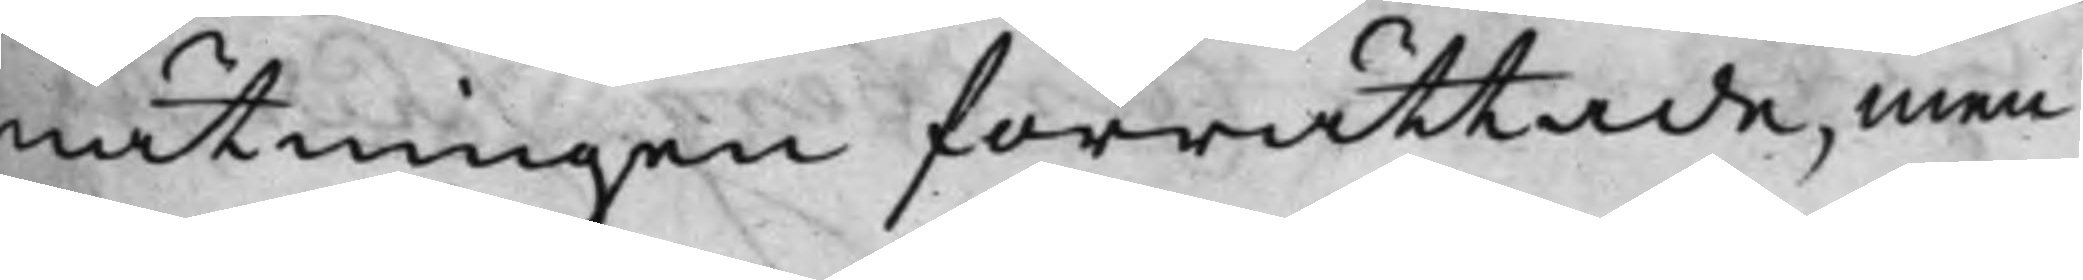nättningen förrättade, men
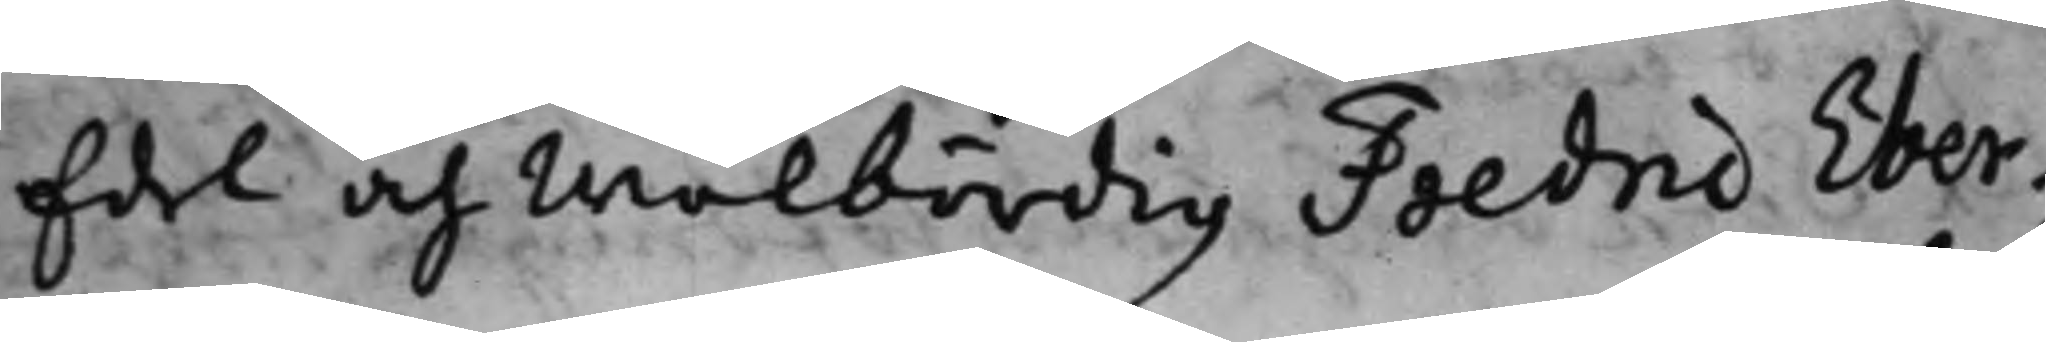Edel och Wälbördig Fredric Eber¬
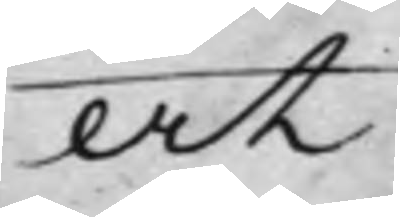at
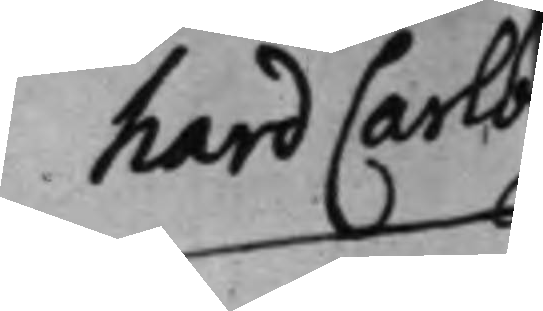hard Carl
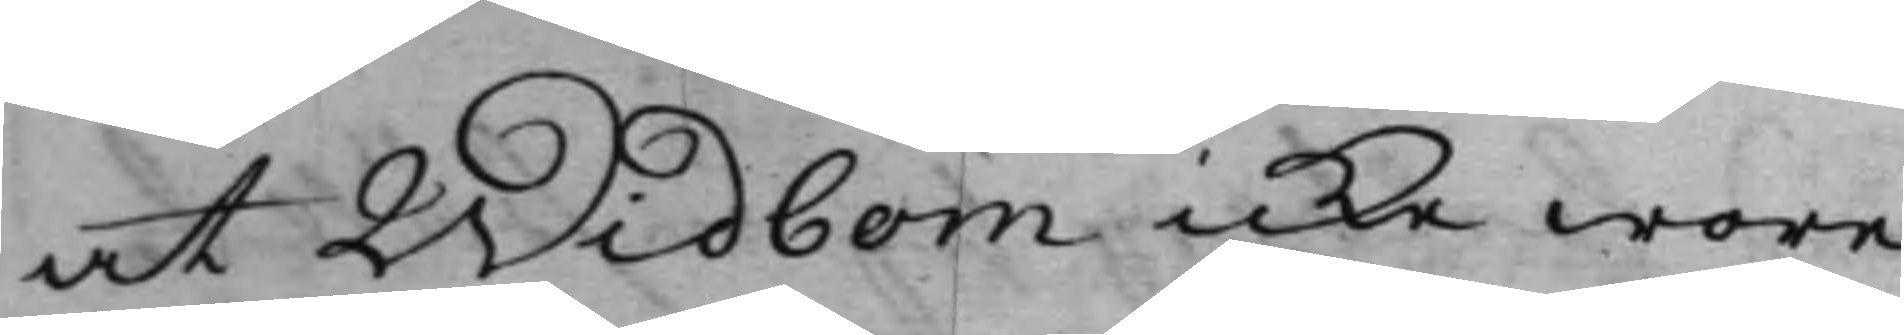at Widbom icke wore
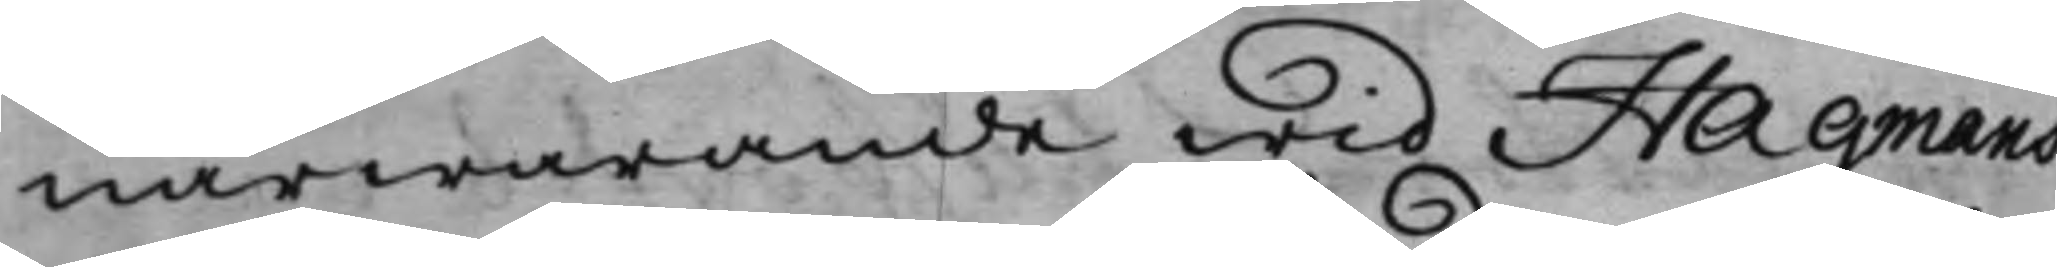närwarande wid Hagmans
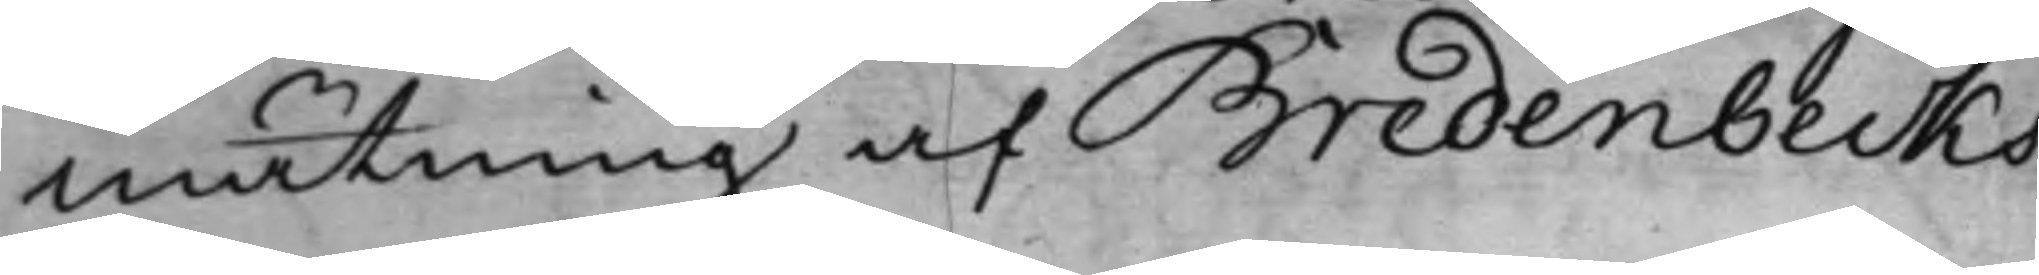mätning af Bredenbecks
